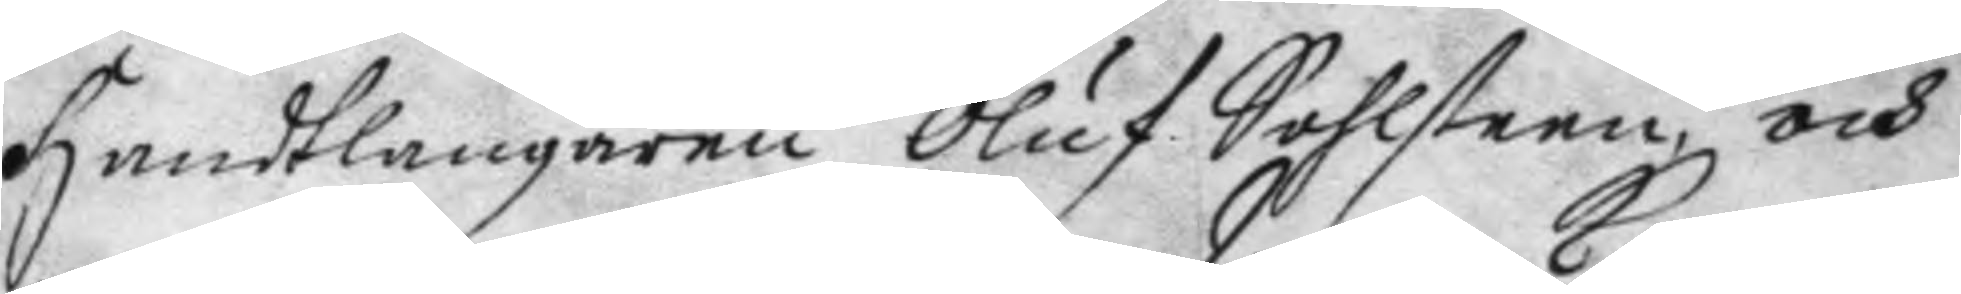handtlangaren Oluf Sahlsteen, och
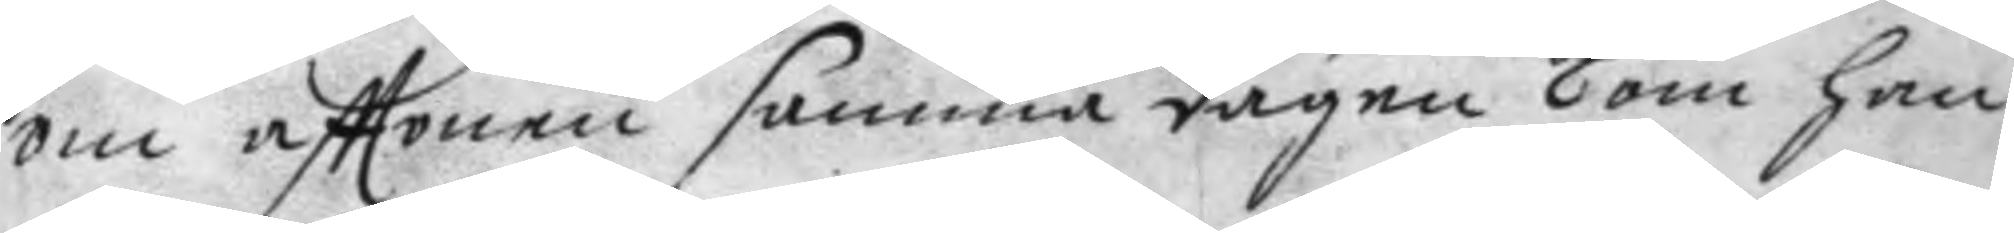om afttonen samma dagen Kom han
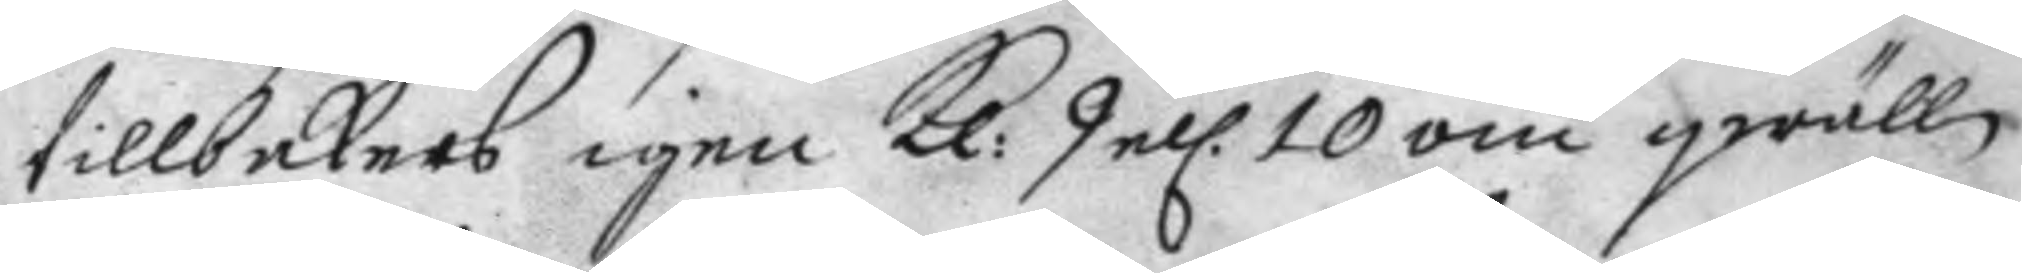tillbakars igen Kl: 9 el. 10 om qwällen
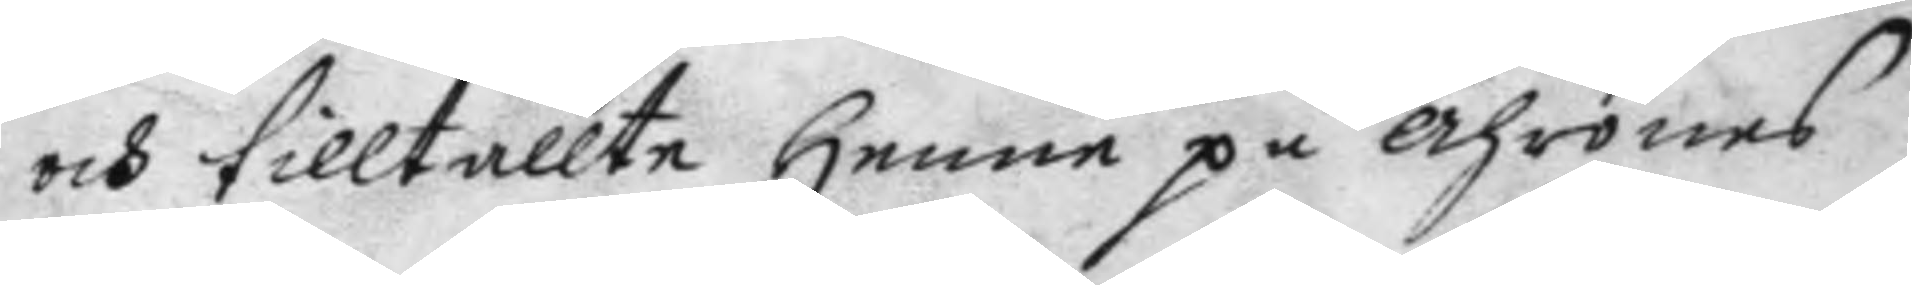och tilltallte henne på ährones
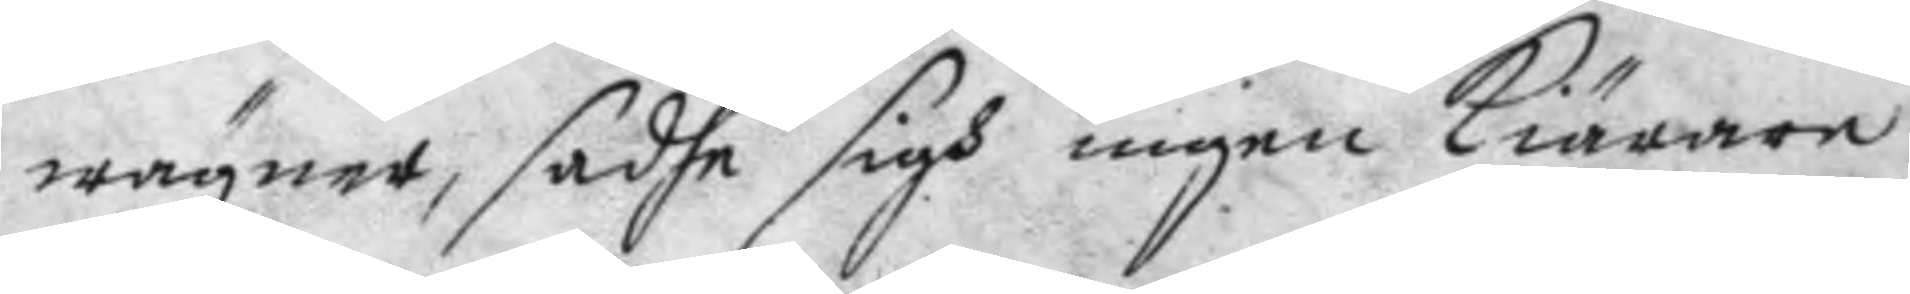wägner, sadhe sigh ingen kiärare
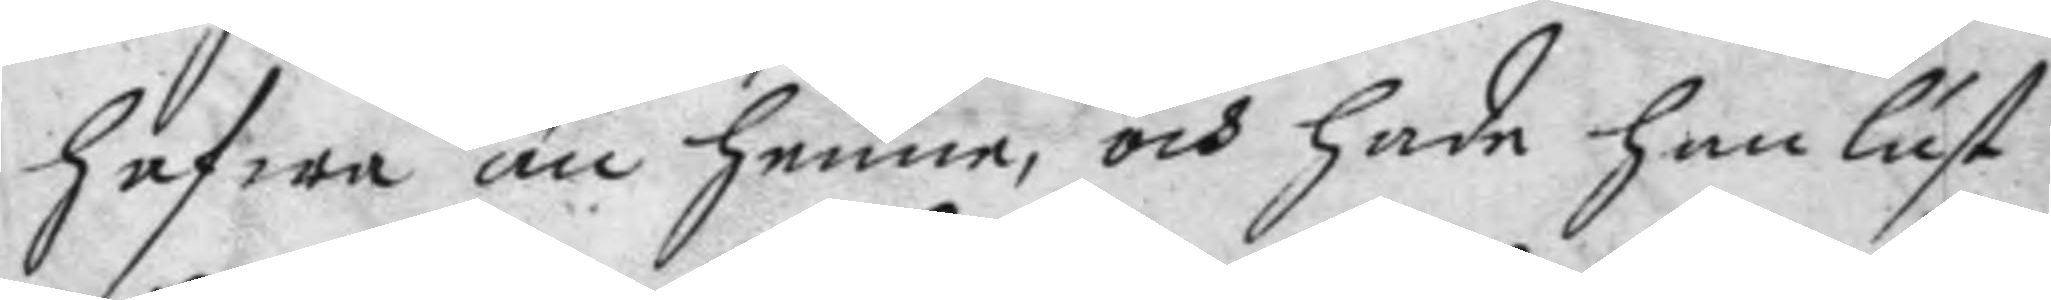hafwa än henne, och hade han lust
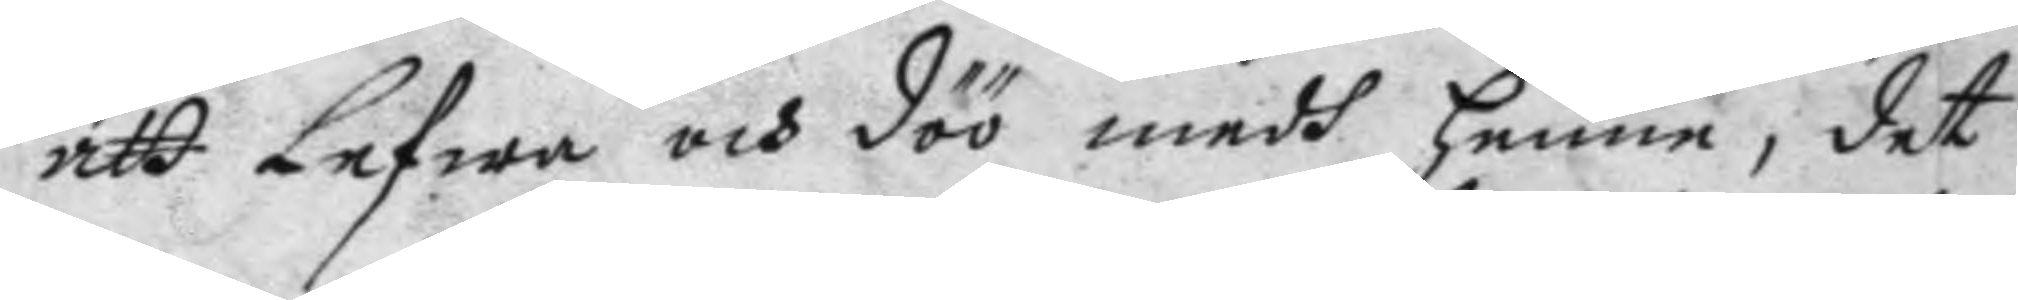att Lefwa och döö medh henne, det
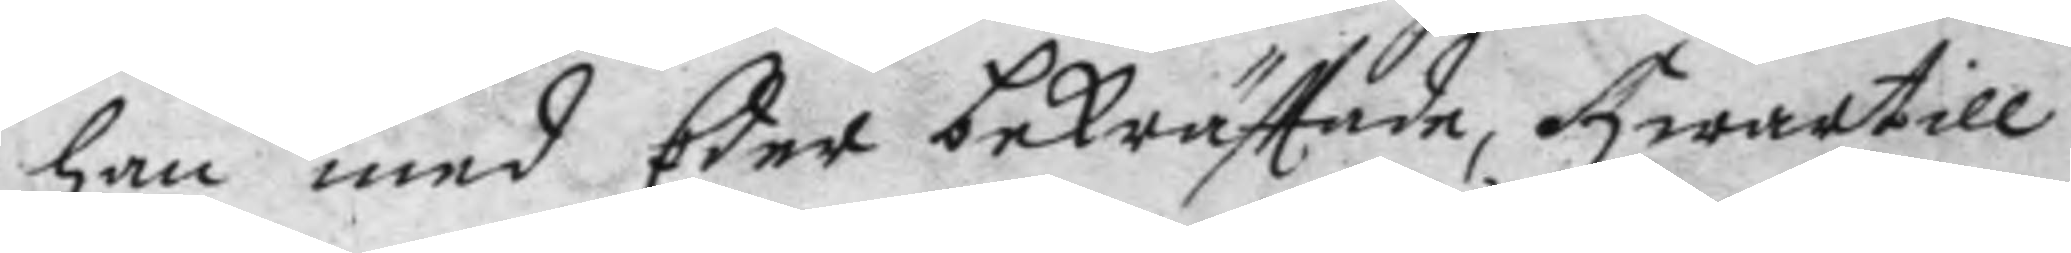han med Eder bekräfttade, hwartill
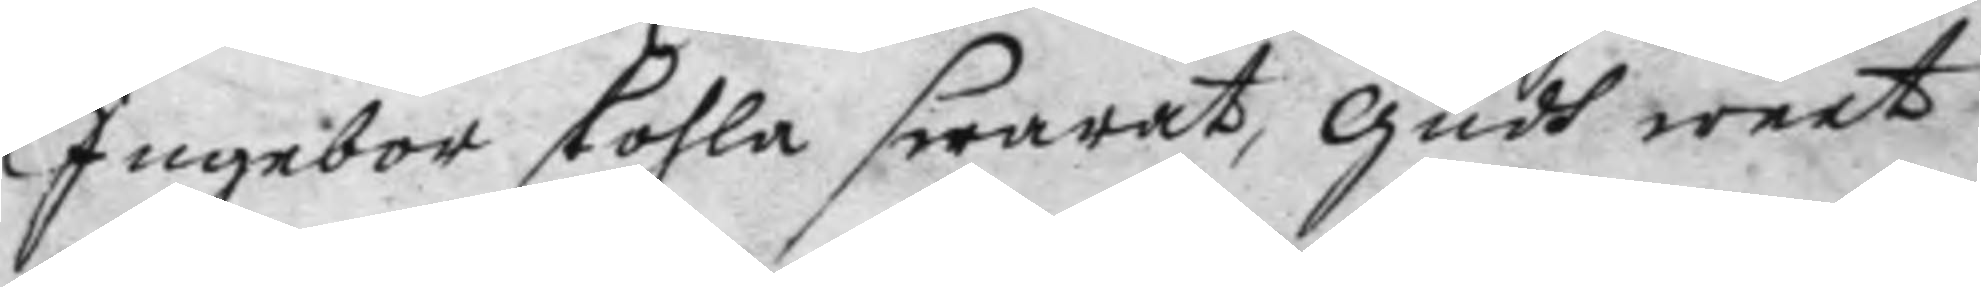Ingebor skohla swarat, gudh weet
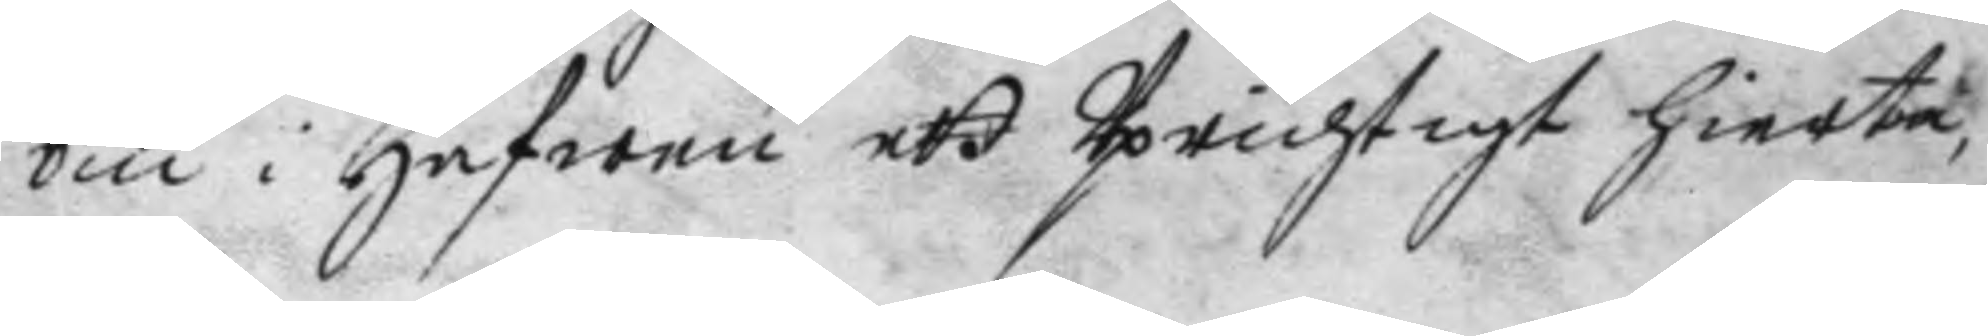om i hafwen ett Uprichtigt hierta,
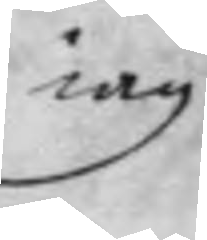iag
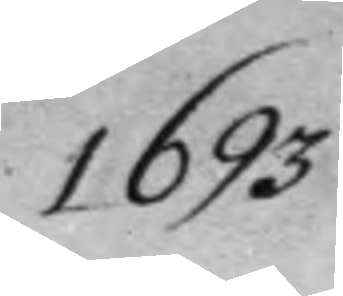1693
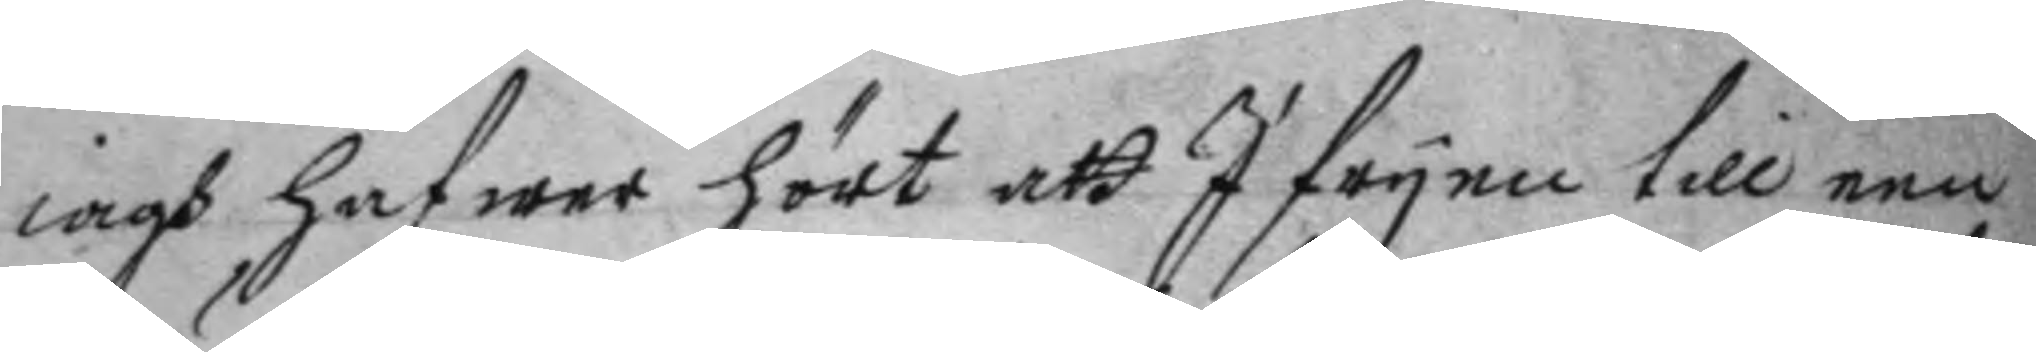iagh hafwer hört att I fryen till een
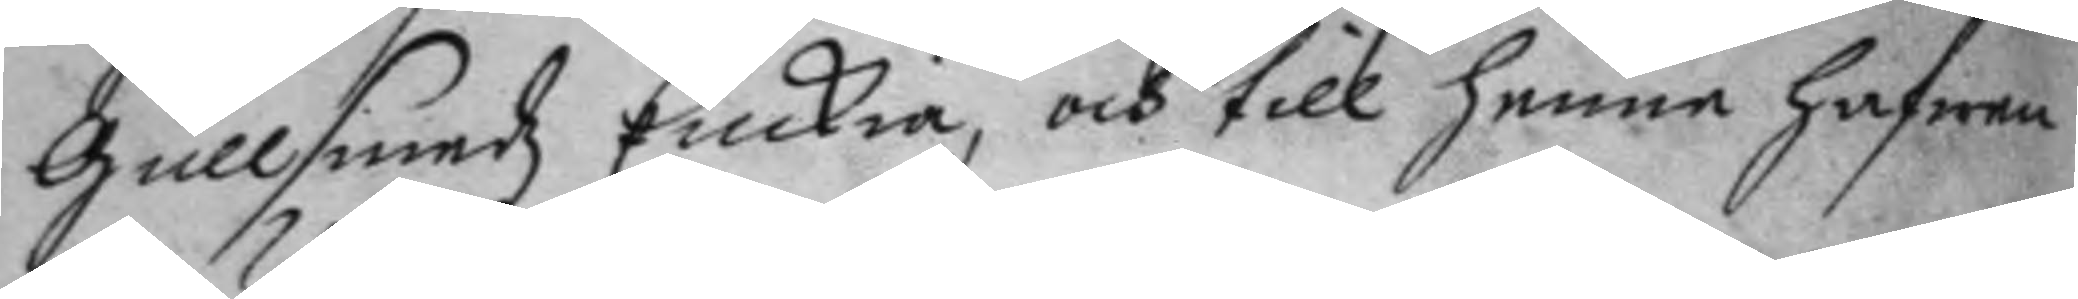gullsmedz Enckia, och till henne hafwen
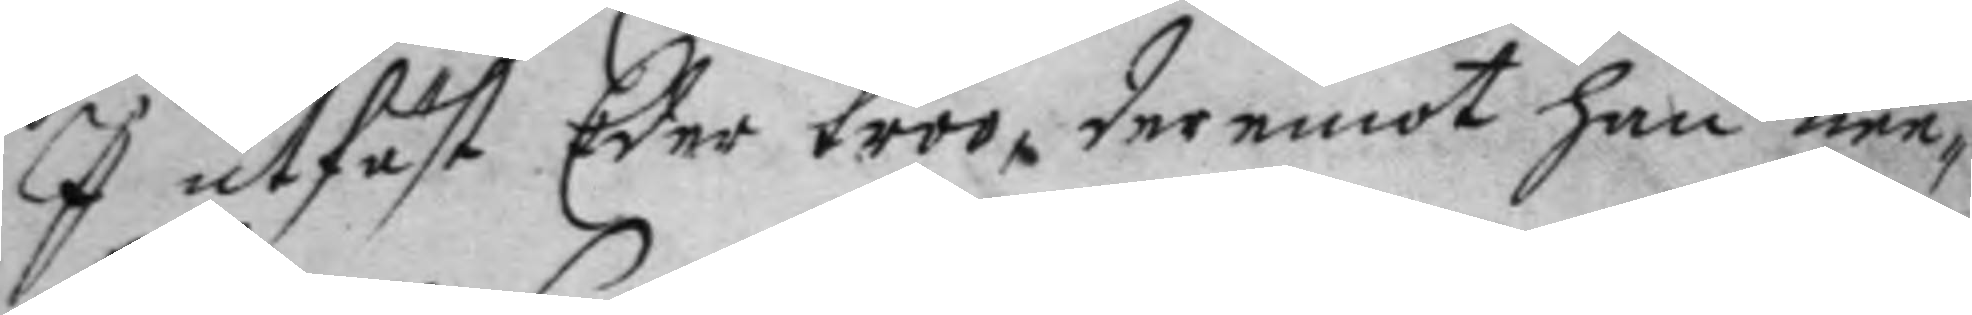I utfäst Eder troo, deremot han nee¬
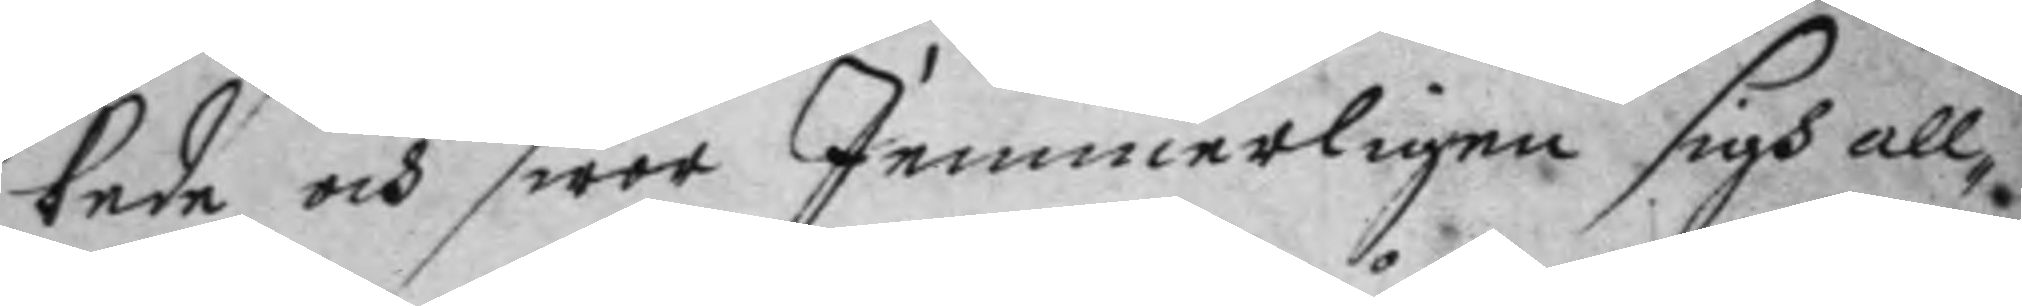kade och swor Iemmerligen sigh all¬
